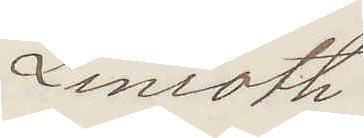Linroth
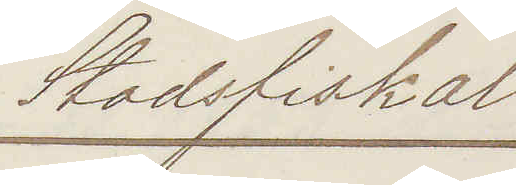Stadsfiskal
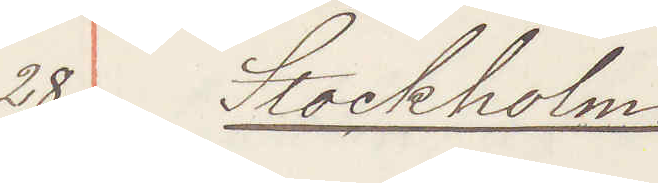28 Stockholm:
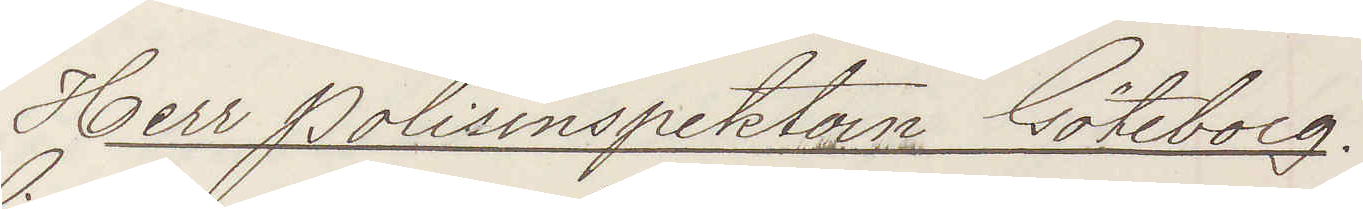Herr Polisinspektorn Göteborg.
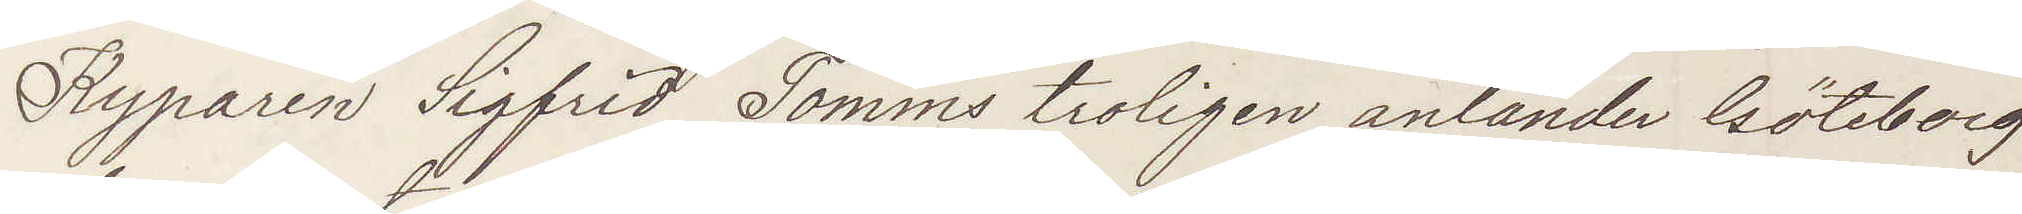Kyparen Sigfrid Tomms troligen anländer Göteborg
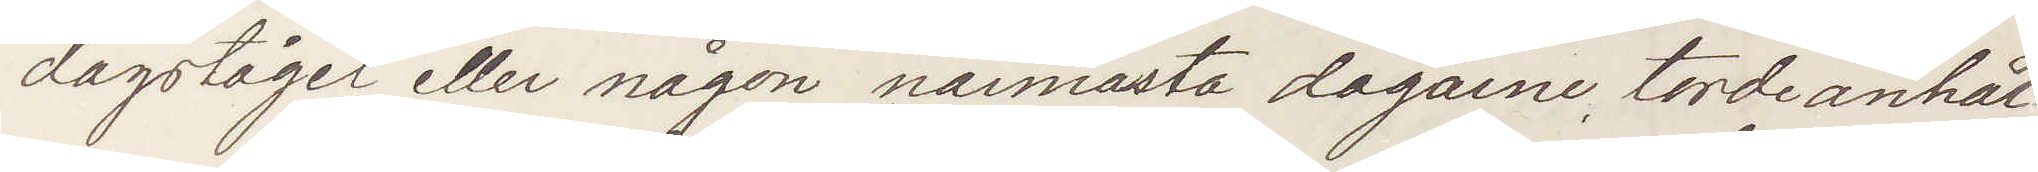dagsläget eller någon närmaste dagarne, torde anhål¬
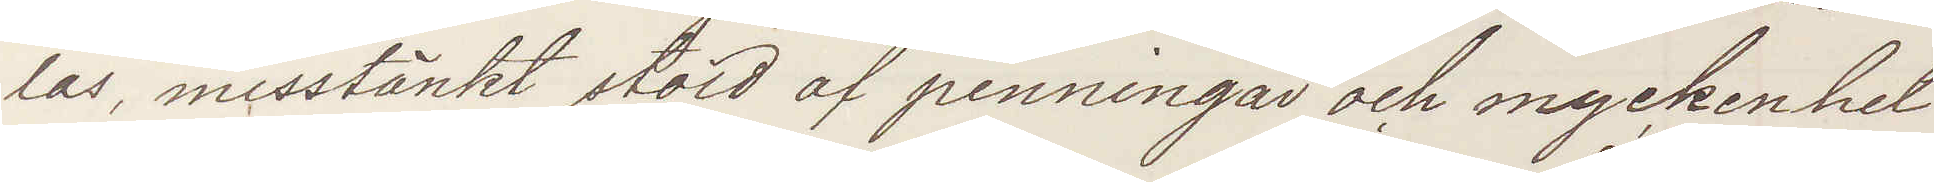las, misstänkt stöld af penningar och myckenhet
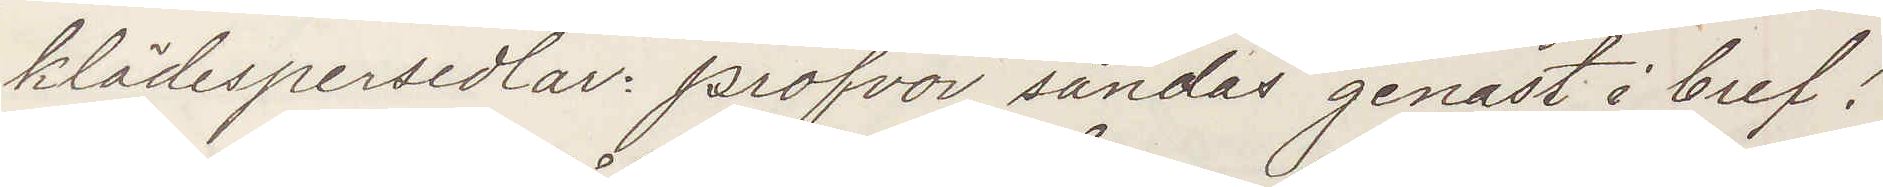klädespersedlar profvor sändas genast i bref!
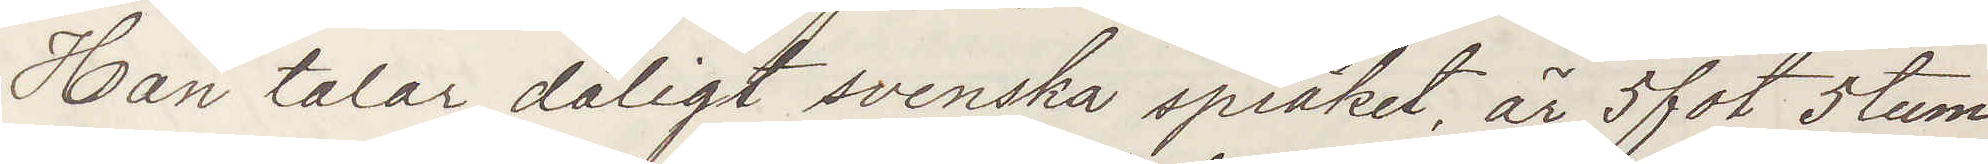Han talar dåligt svenska språket, är 5 fot 5 tum
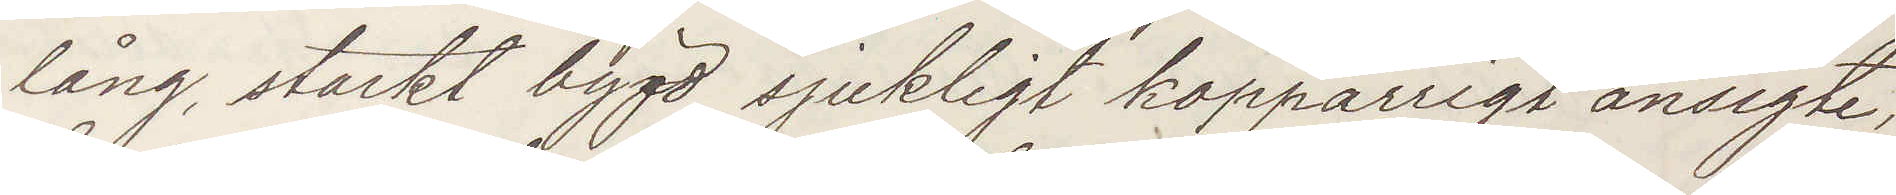lång, starkt bygd, sjukligt koppärrigt ansigte,
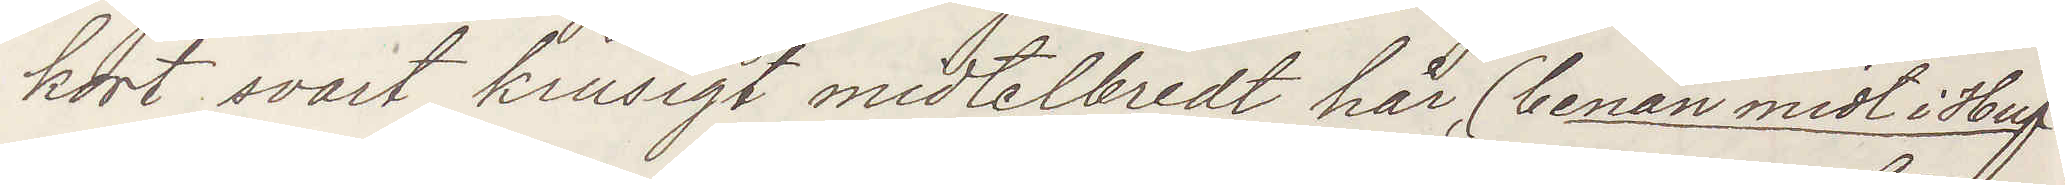kort svart krusigt midtelbredt hår, (benan midt i Huf¬
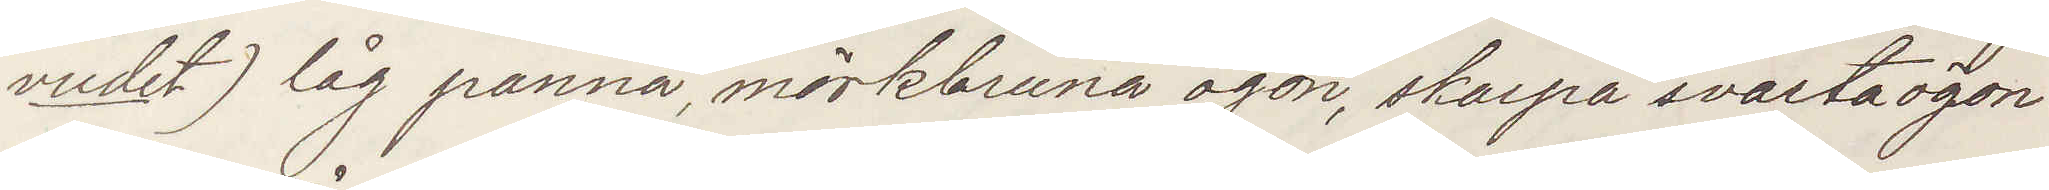vudet) låg panna, mörkbruna ögon, skarpa svarta ögon¬
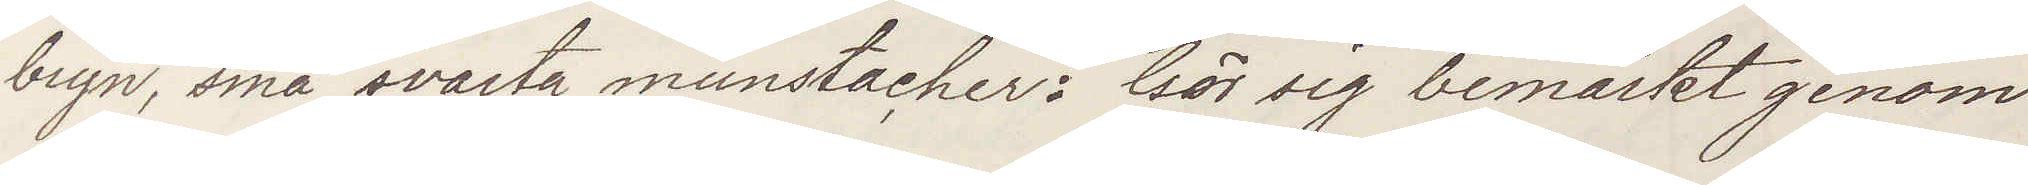bryn, små svarta munstacher: Gör sig bemärkt genom
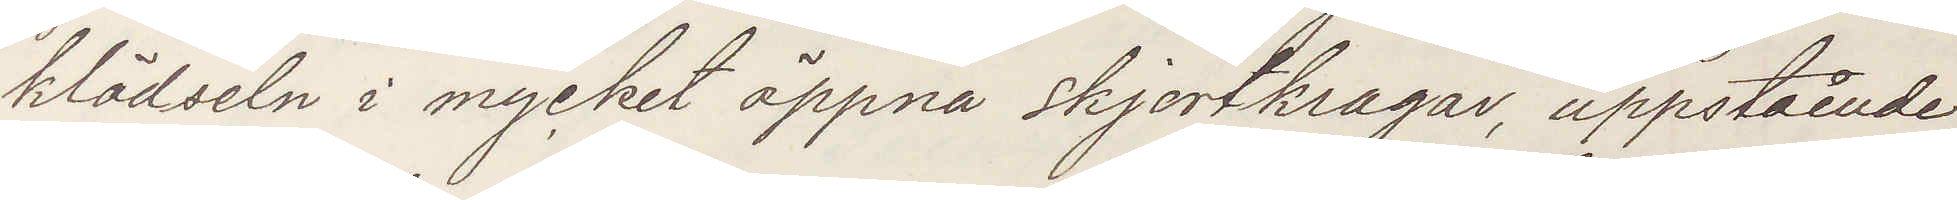klädseln i mycket öppna skjortkragar, uppstående
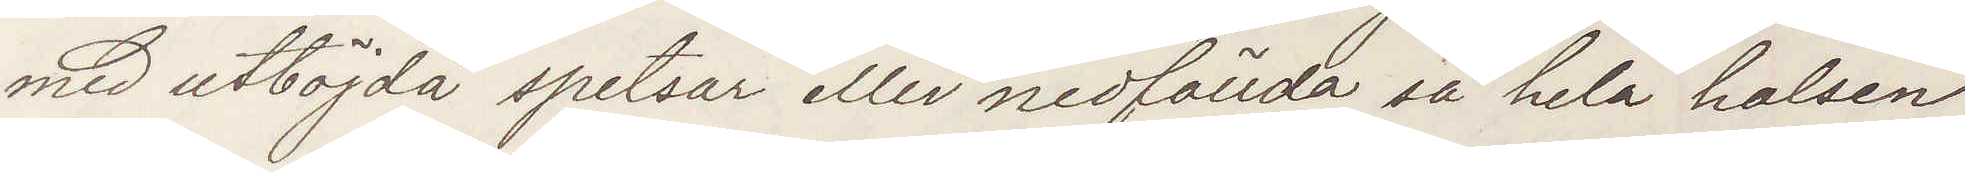med utböjda spetsar eller nedfällda så hela halsen
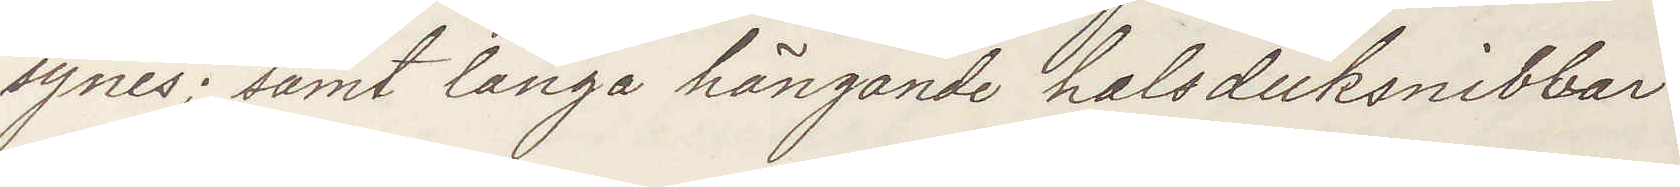synes; samt långa hängande halsduksnibbar.
